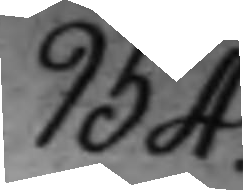954.
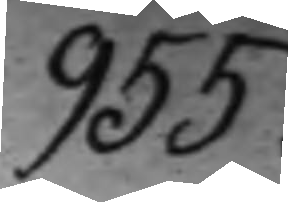955.
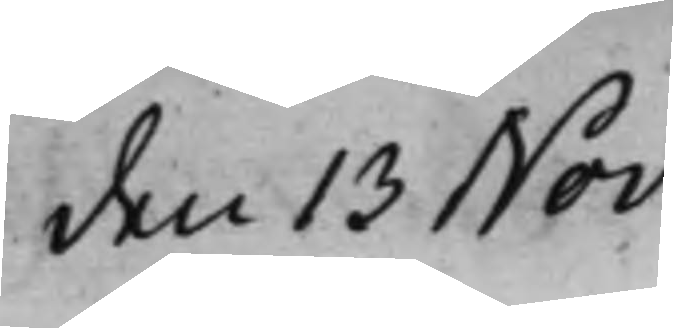den 13 Nov:
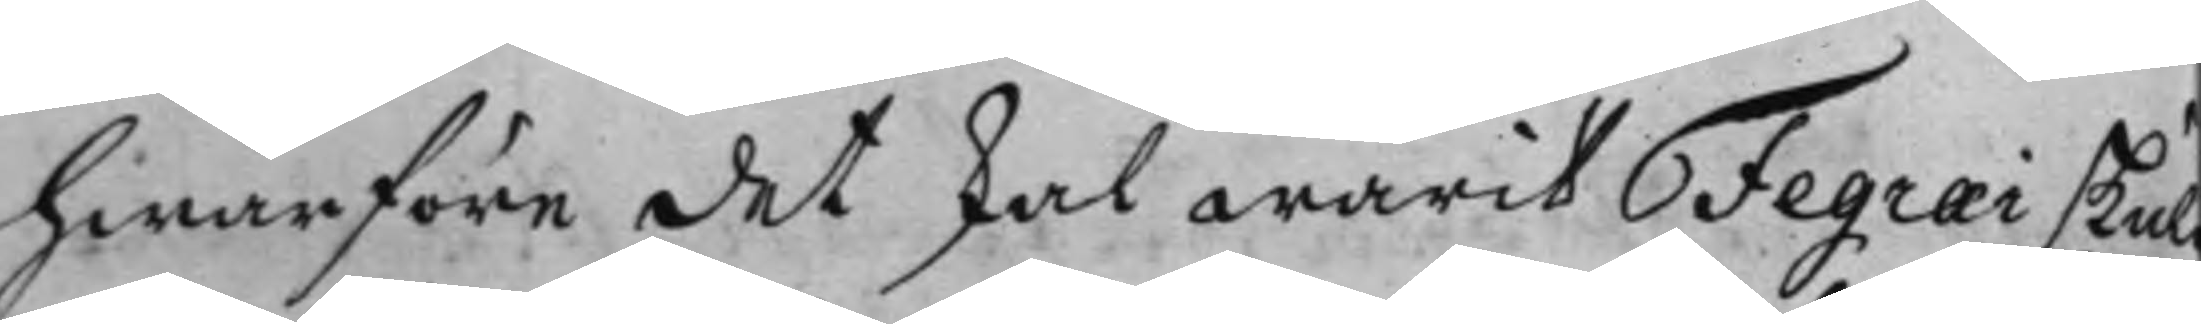hwarföre det skal warit Fegræi skuld
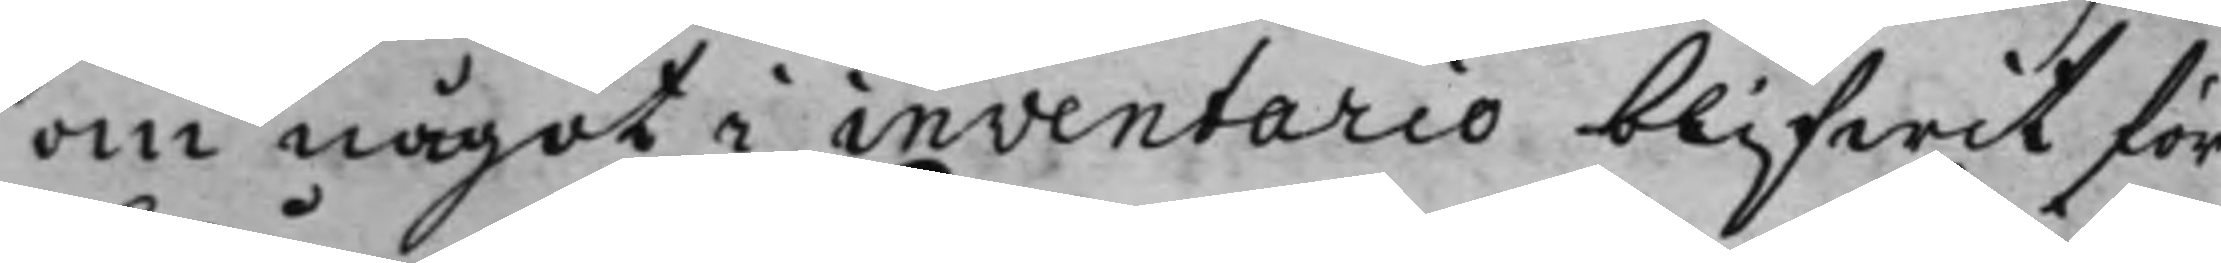om något i inventario blifwit för¬
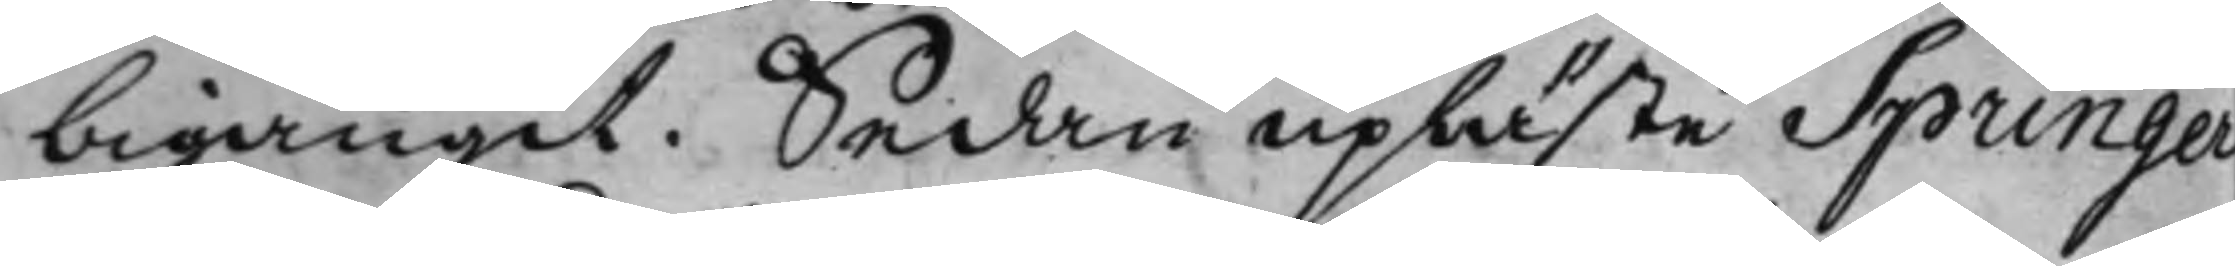bigångit. Sedan upläste Springer
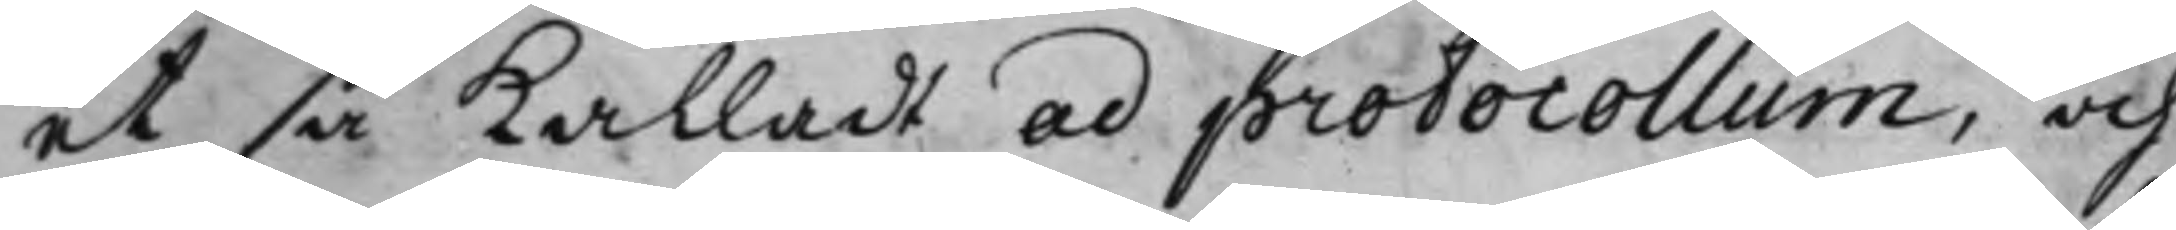et så kalladt ad protocollum, och
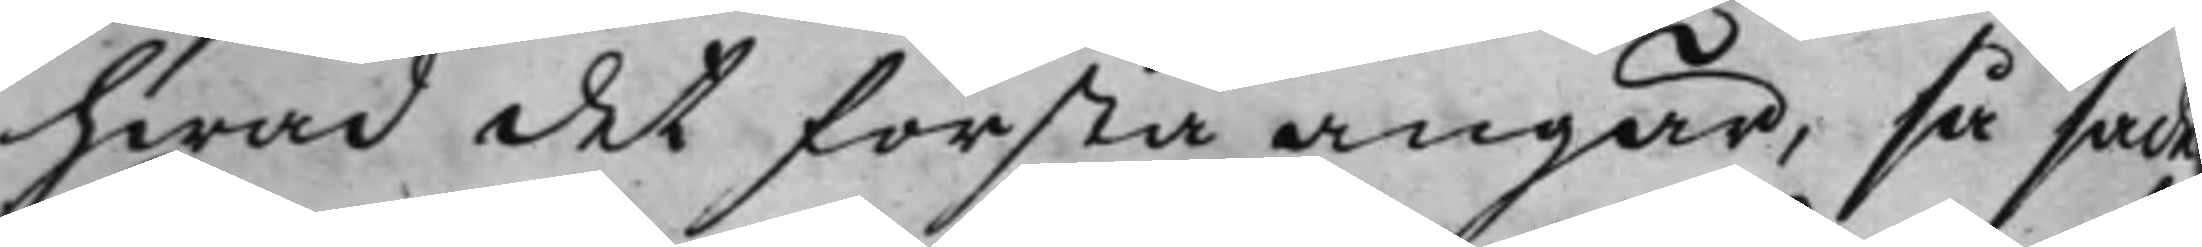hwad det första angår, så sade
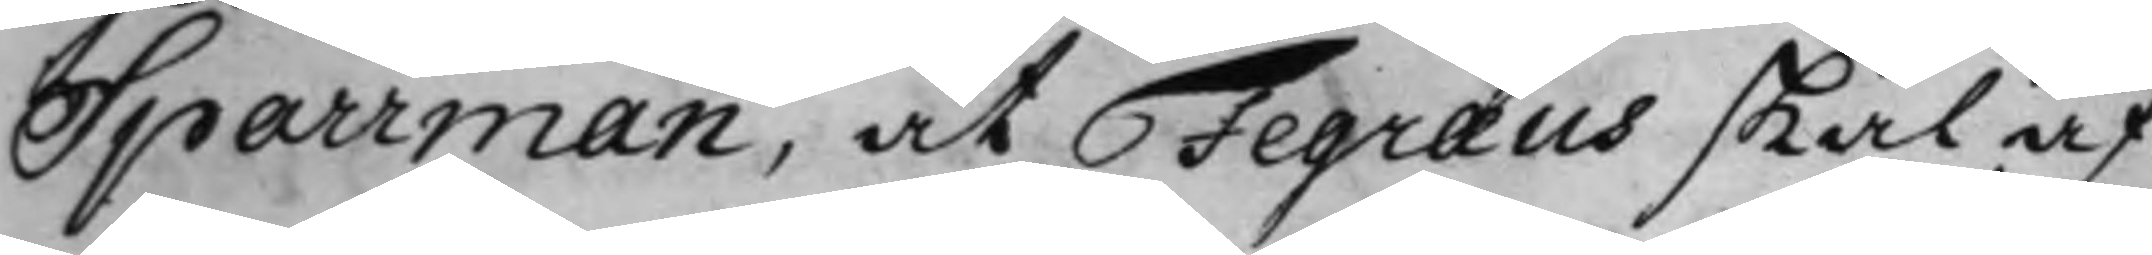Sparrman, at Fegræus skal af
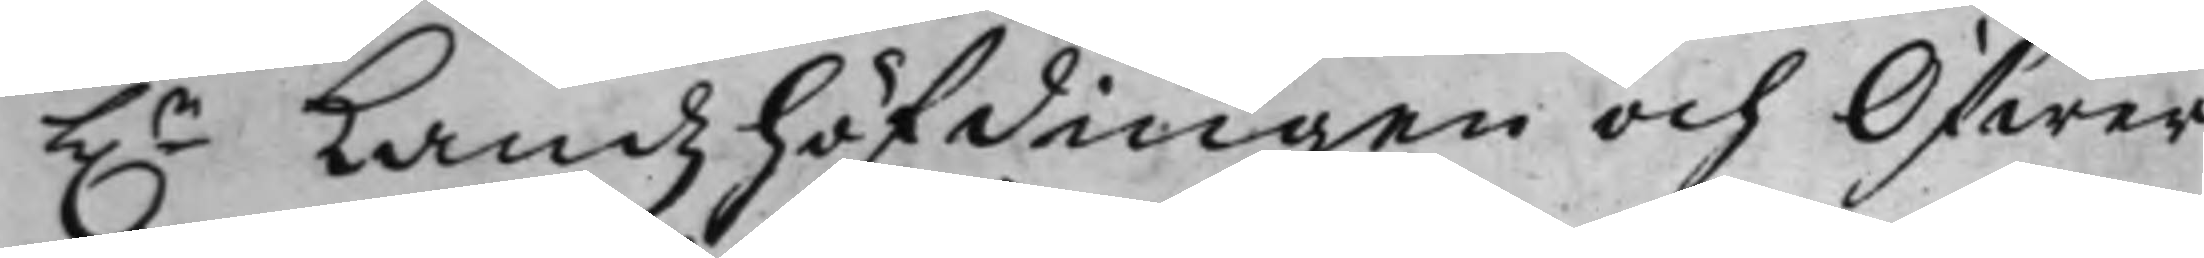h.r Landzhöfdingen och Öfwer¬
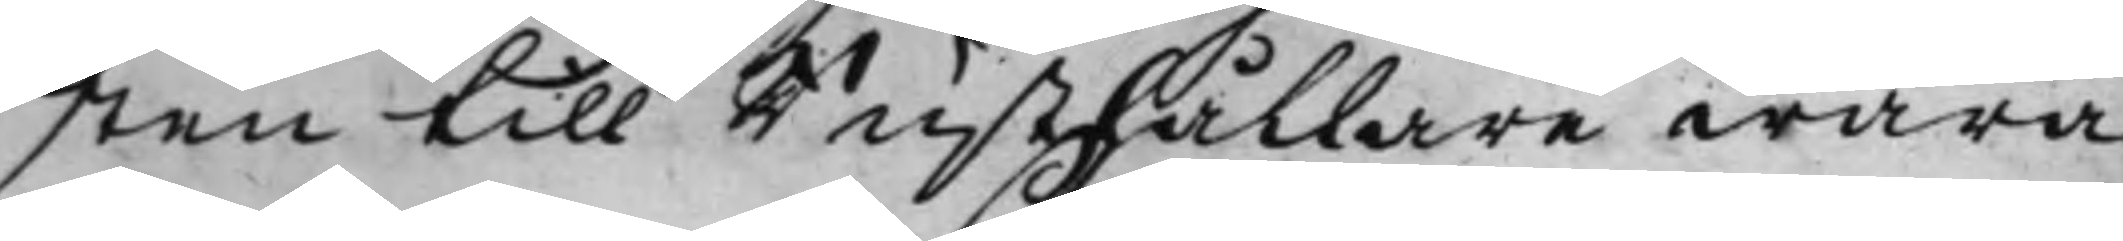sten till Rusthållare wara
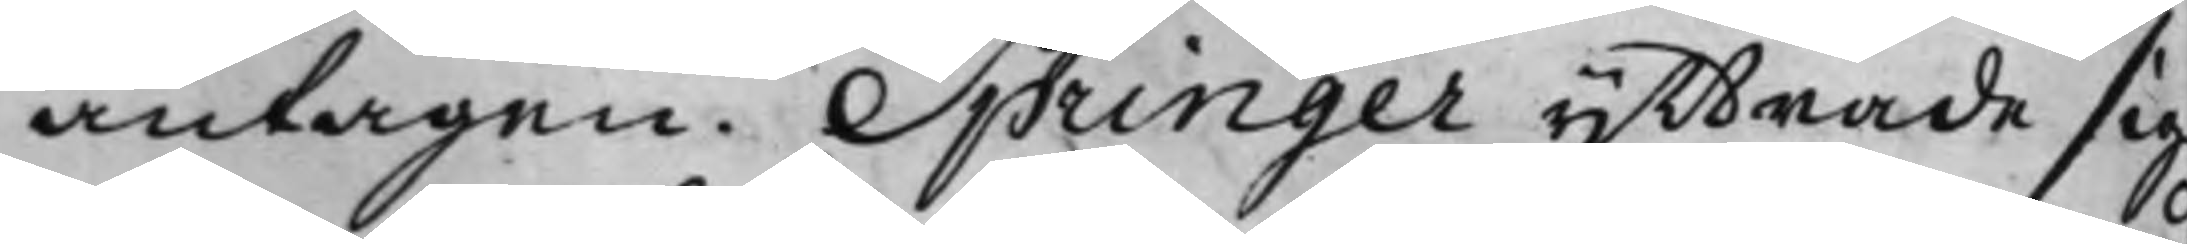antagen. Springer yttrade sig
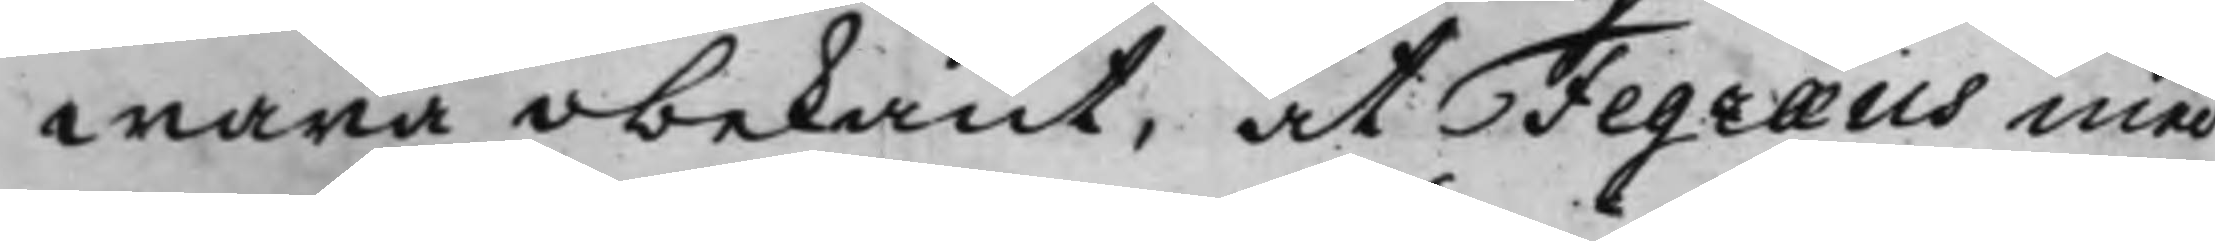wara obekant, at Fegræus med
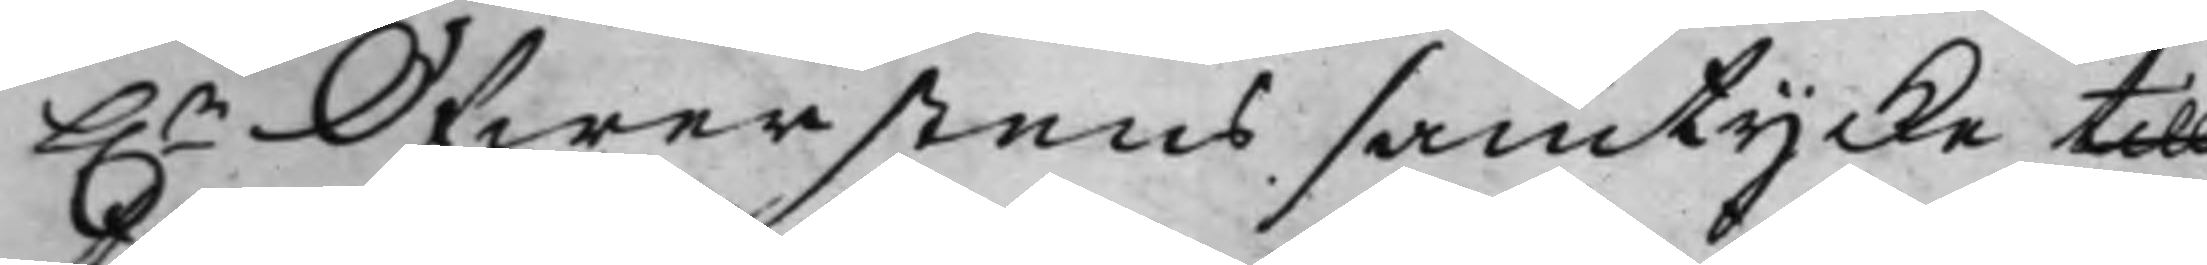h.r Öfwerstens samtycke till
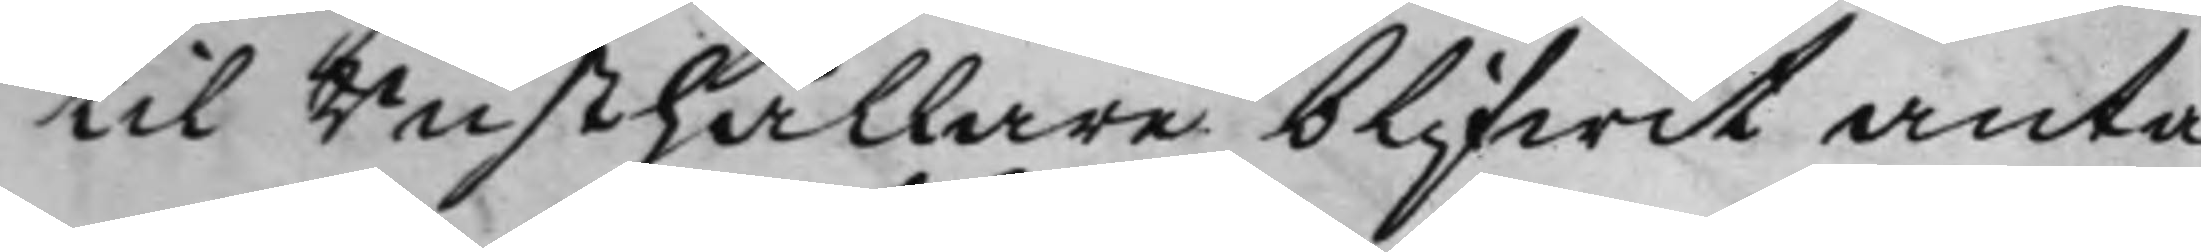til Rusthållare blifwit anta¬
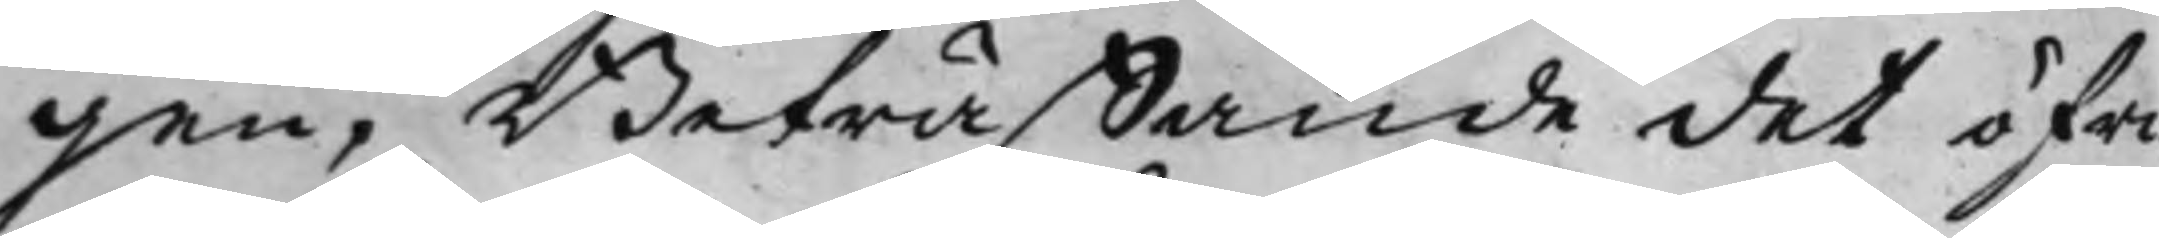gen, Beträffande det öfri¬
